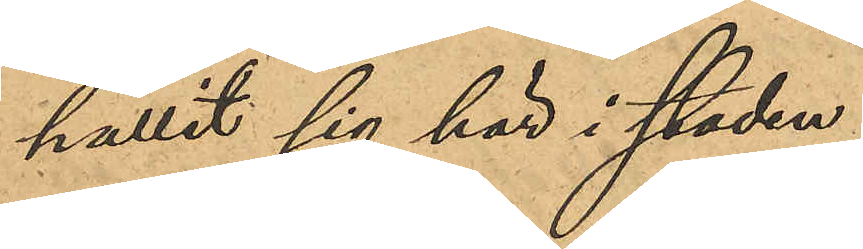hållit sig här i staden.
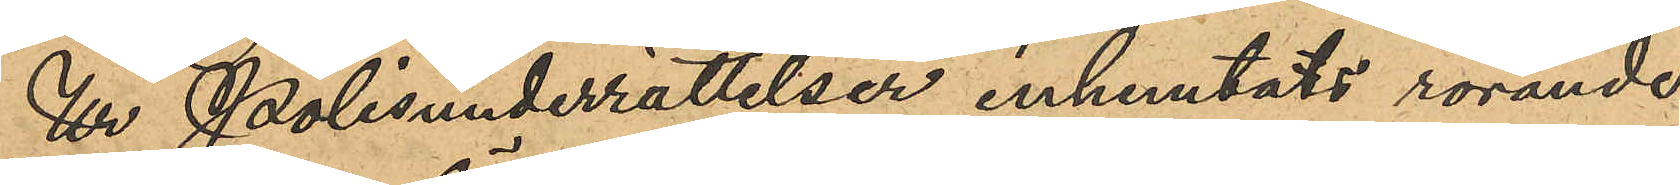Ur Polisunderrättelser inhemtats rörande
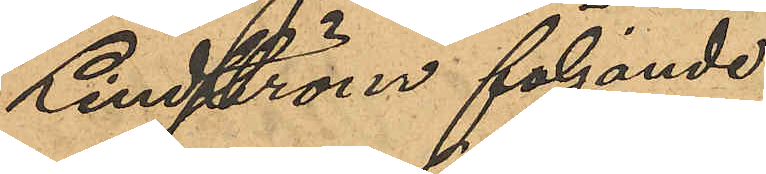Lindström följande:
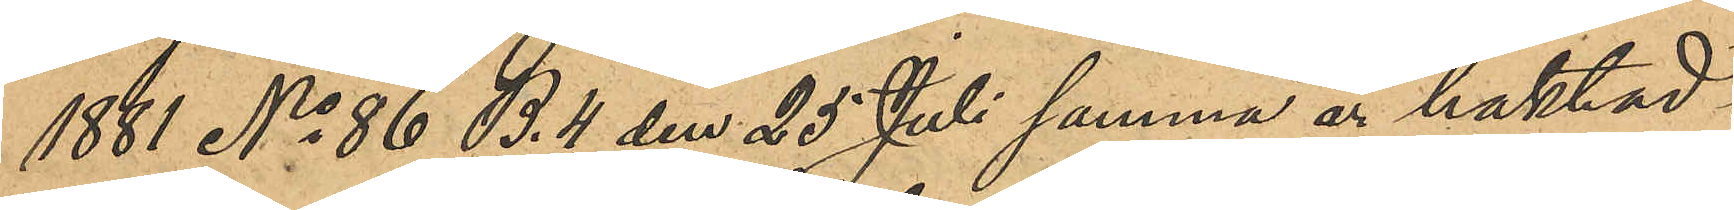1881 No 86 B. 4 den 25 Juli samma år häktad i
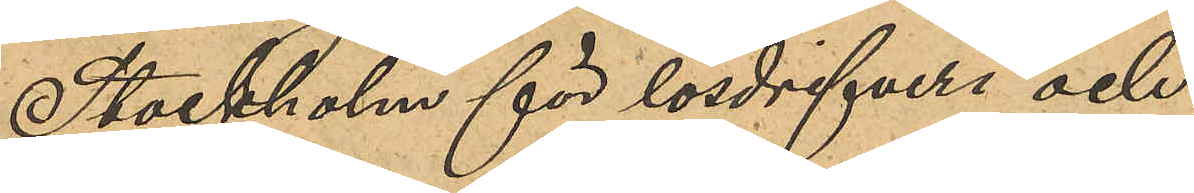Stockholm för lösdrifveri och,
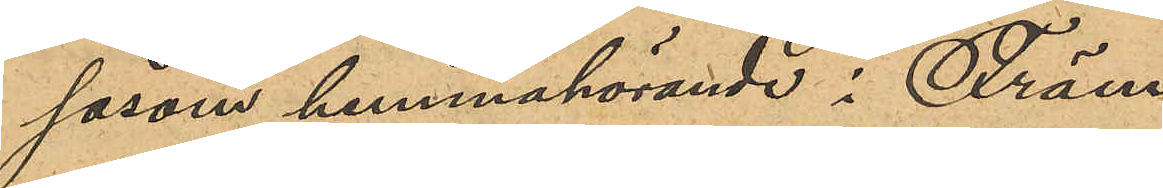såsom hemmahörande i Främ¬
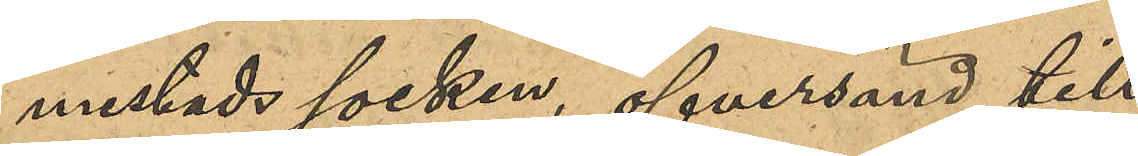mestads socken, öfversänd till
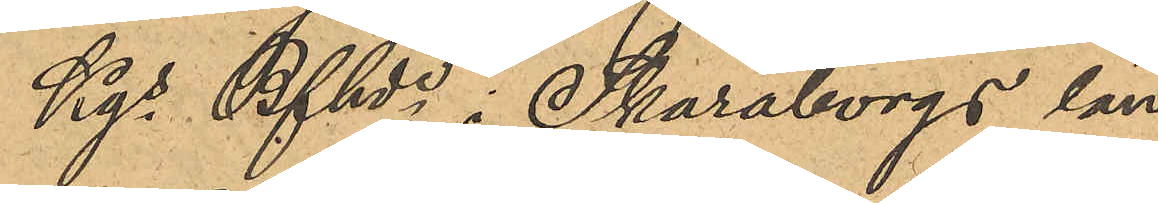Kgs Bfhde i Skaraborgs län,
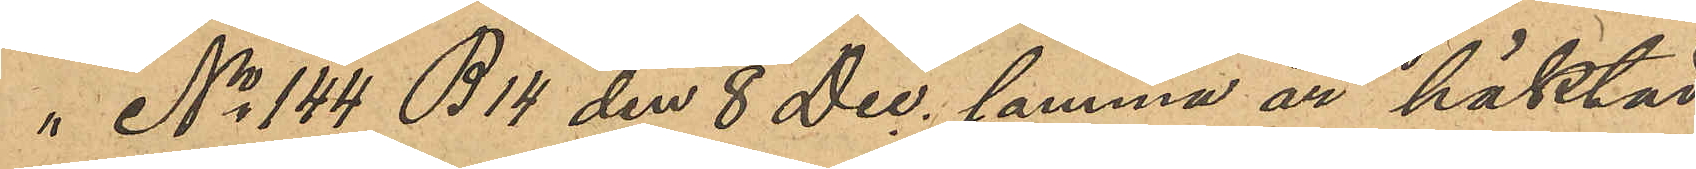"   No 144 B 14 den 8 Dec, samma år häktad
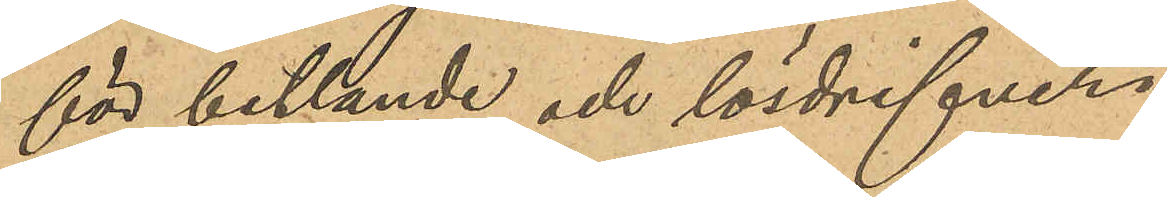för betlande och lösdrifveri i
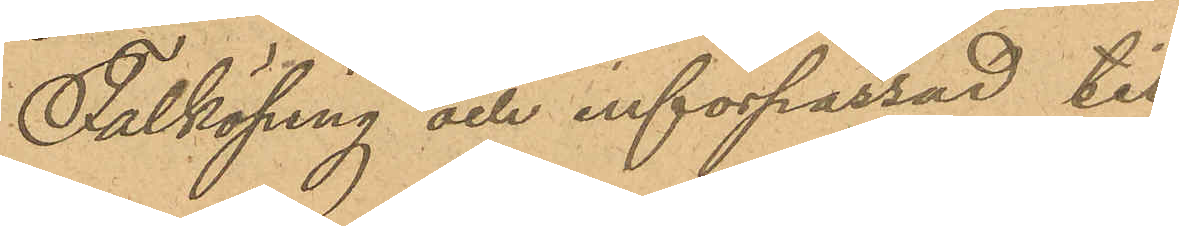Falköping och införpassad till
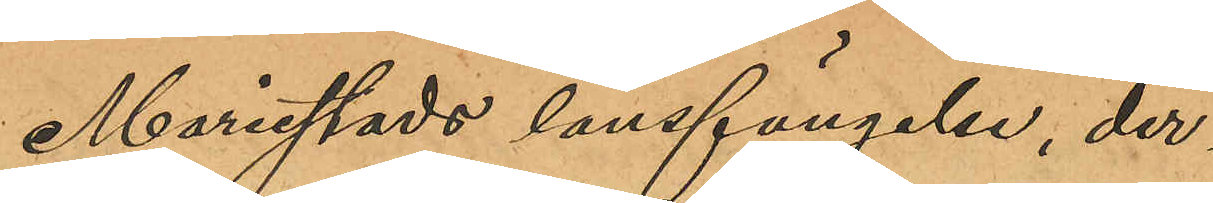Mariestads länsfängelse, der¬
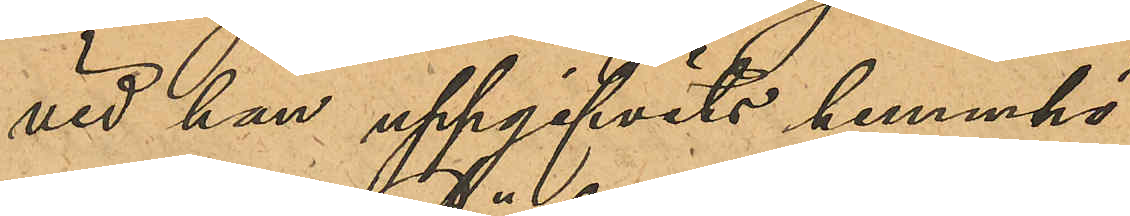vid han uppgifvits hemmhö¬
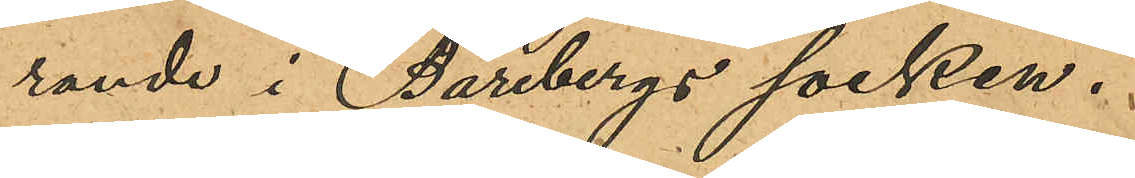rande i Bärebergs socken.
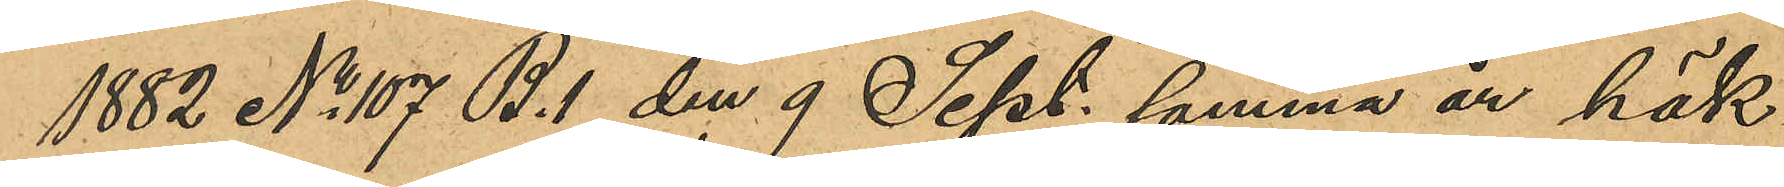1882 No 107 B.1 den 9 Sept. samma år häk¬
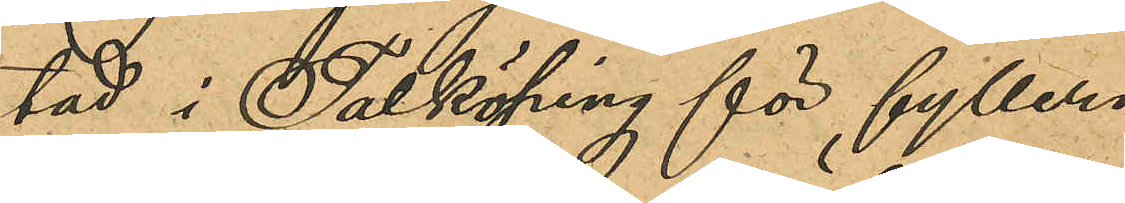tad i Falköping för fylleri
